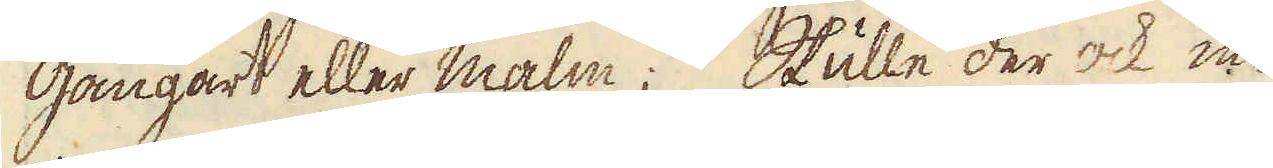gångart eller malm; Skulle der ock in-
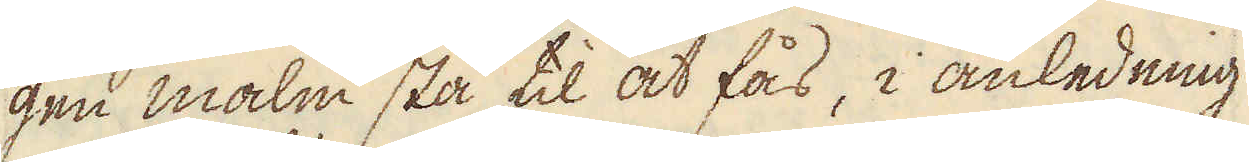gen malm stå til at fås, i anledning
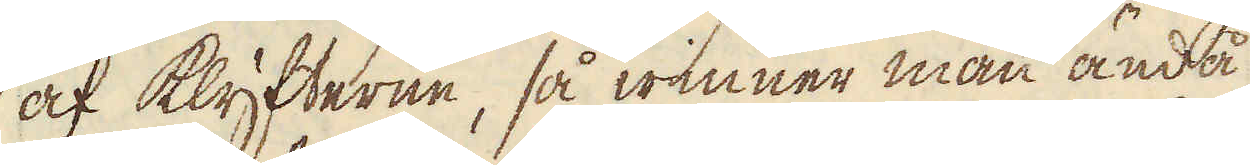af klyfterne, så winner man ändå
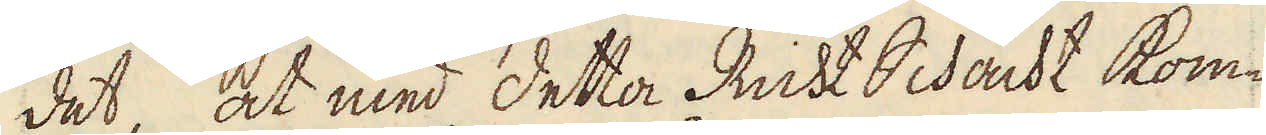det, at med detta Richt Schacht kom-
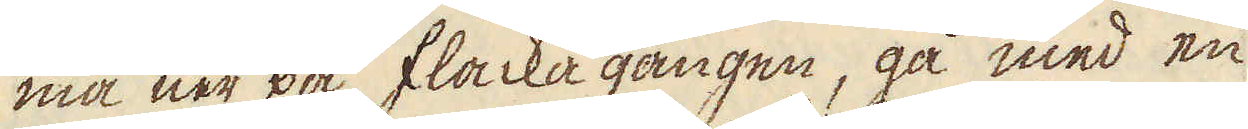ma ner på flacka gången, gå med en
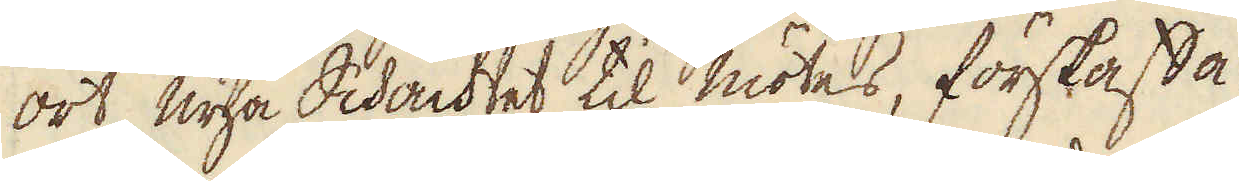ort nya Schachtet til mötes, förskaffa
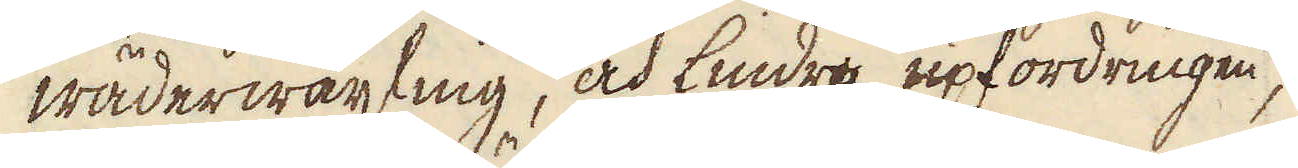wäderwäxling, och lindra upfordringen,
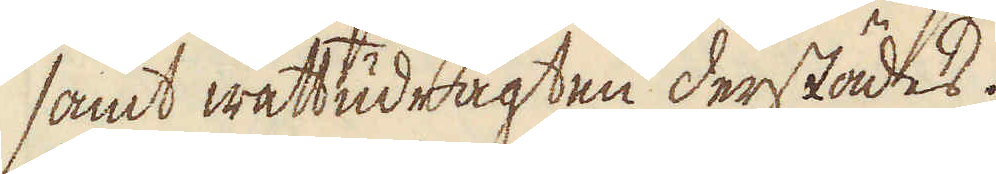samt wattudrägten derstädes.
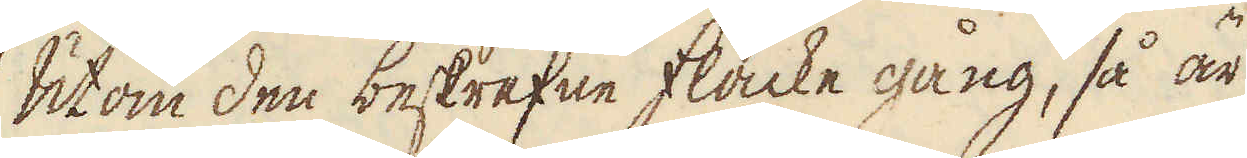Utom den beskrefne flacke gång, så är
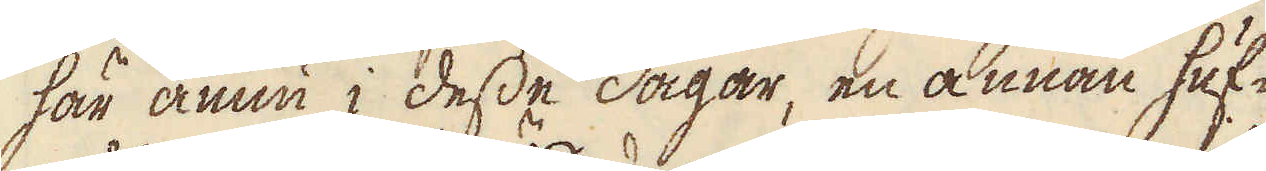här ännu i desse dagar, en annan huf-
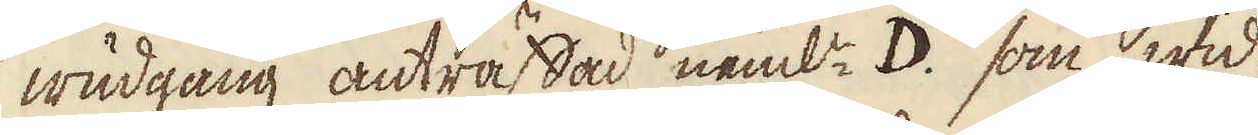wudgång anträffad neml: D. som wid
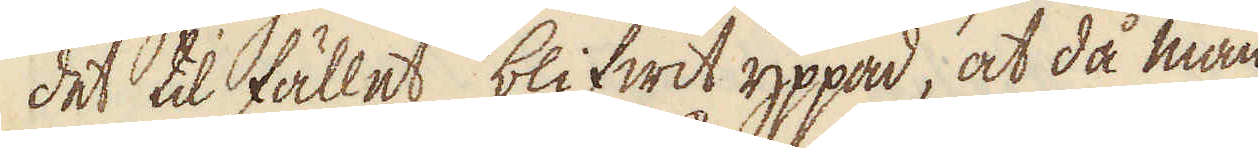det tilfället, blifwit yppad, at då man
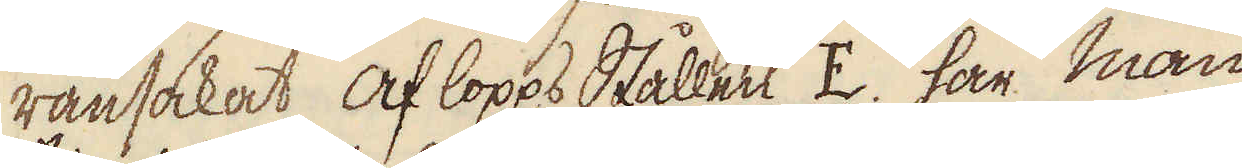ransakat aflopps Stållen E. har man
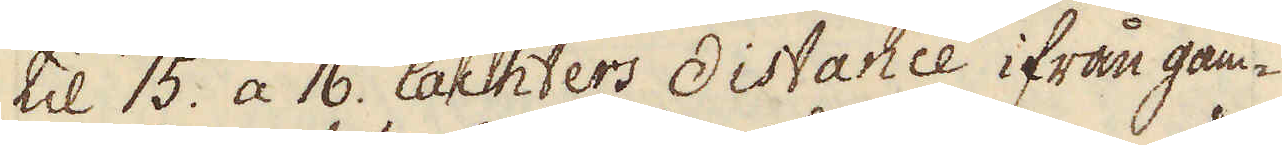til 15. a 16. lachters distance ifrån gam-
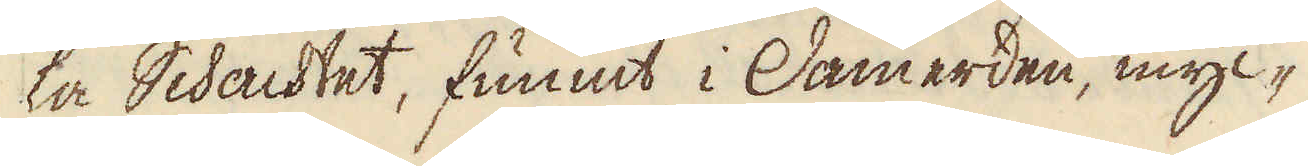ka Schachtet, funnit i Damerden, myc-
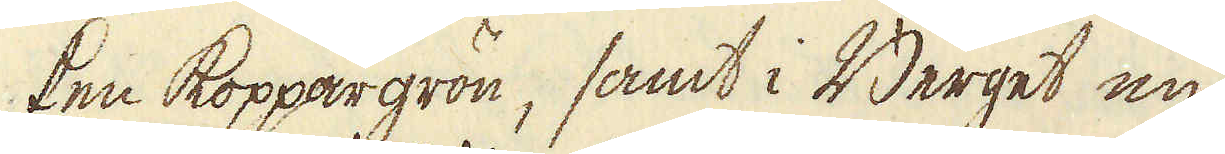ken koppargrön, samt i Berget en
